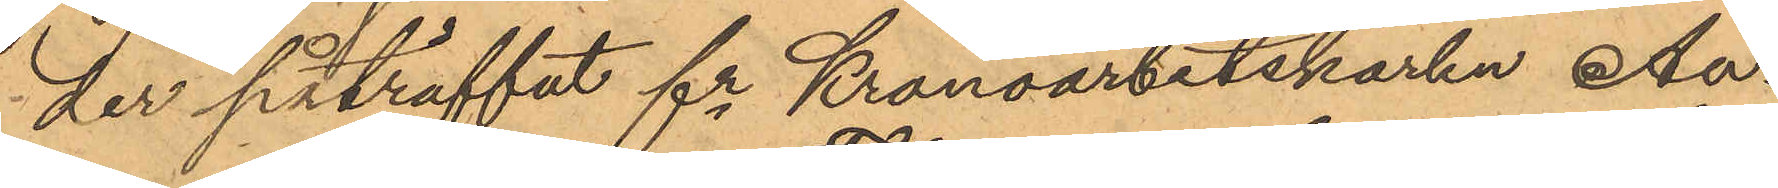der påträffat fr Kronoarbetskarlen An¬
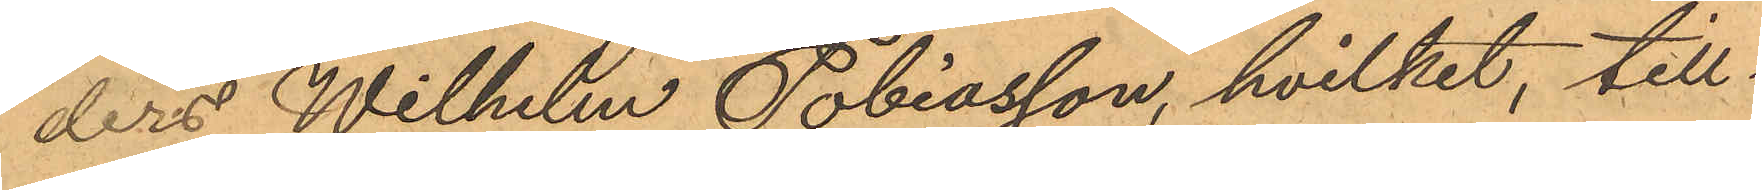ders Wilhelm Tobiasson, hvilket, till¬
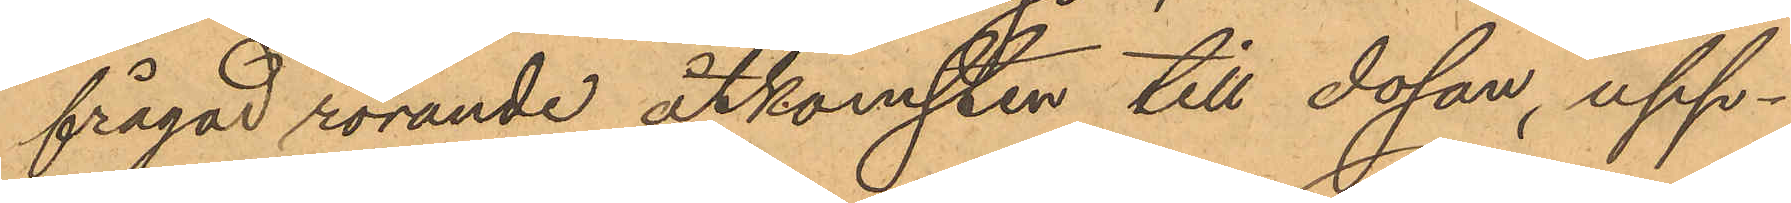frågad rörande åtkomsten till dosan, upp¬
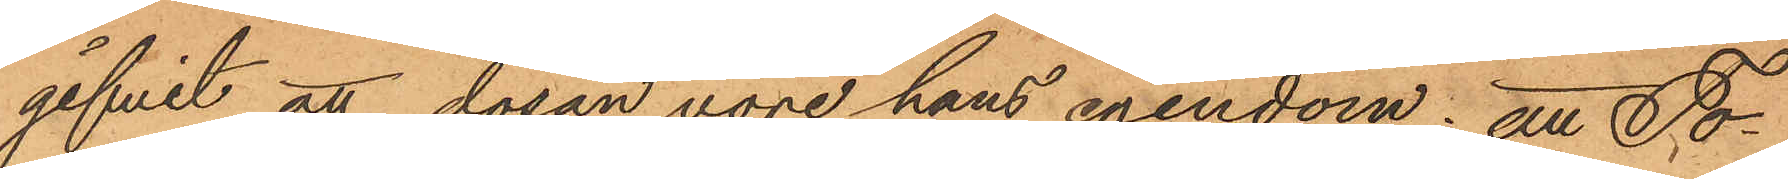gifvit att dosan vore hans egendom; att To¬
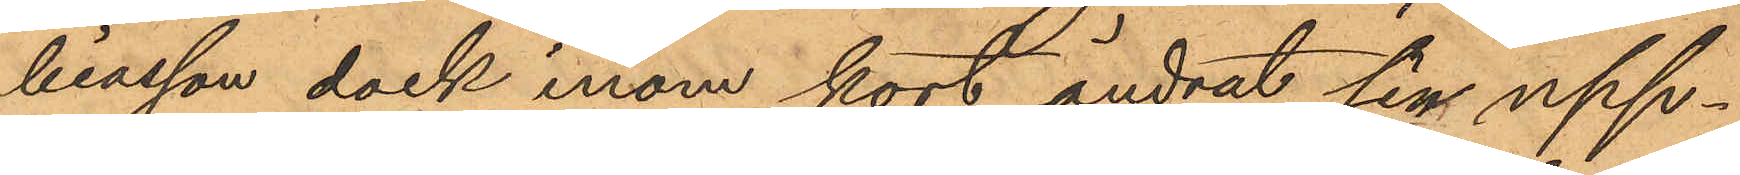biasson dock inom kort ändrat sin upp¬
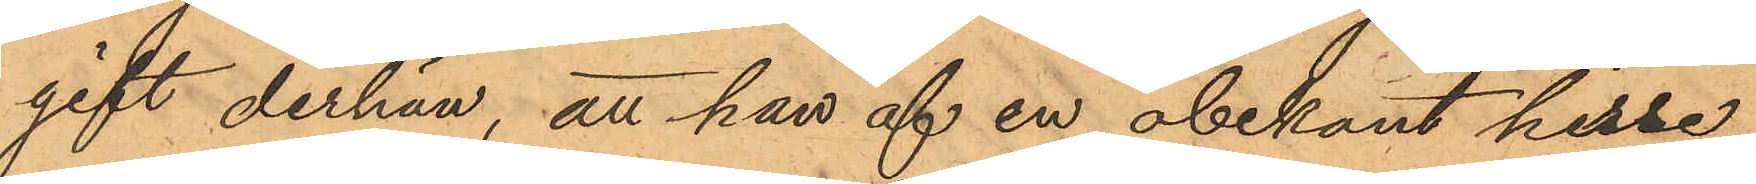gift derhän, att han af en obekant herre
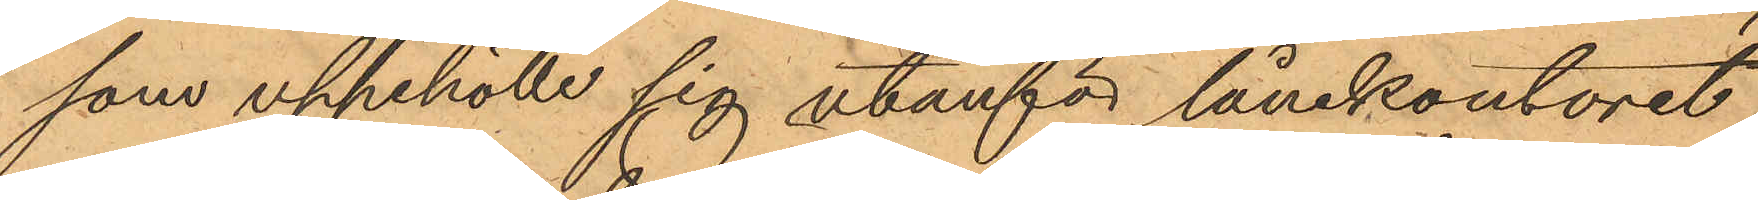som uppehölle sig utanför lånekontoret
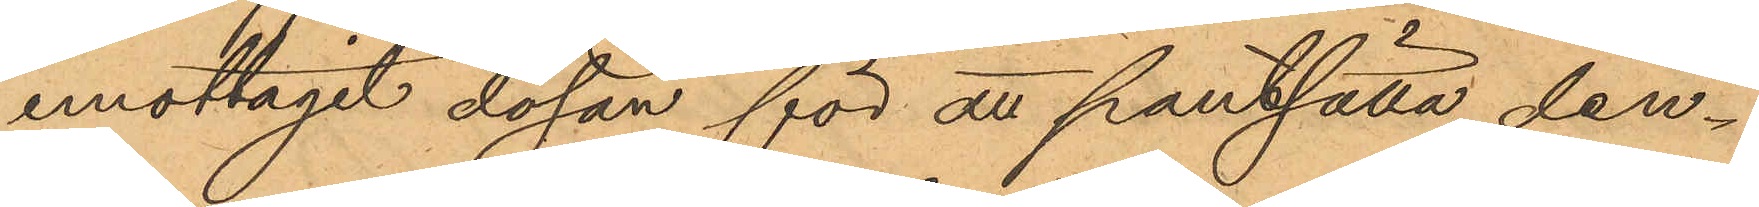emottagit dosan för att pantsätta den¬
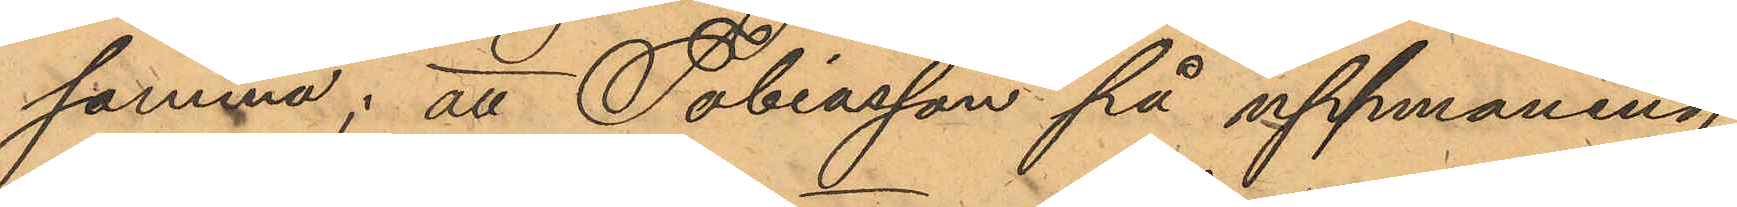samma; att Tobiasson på uppmaning
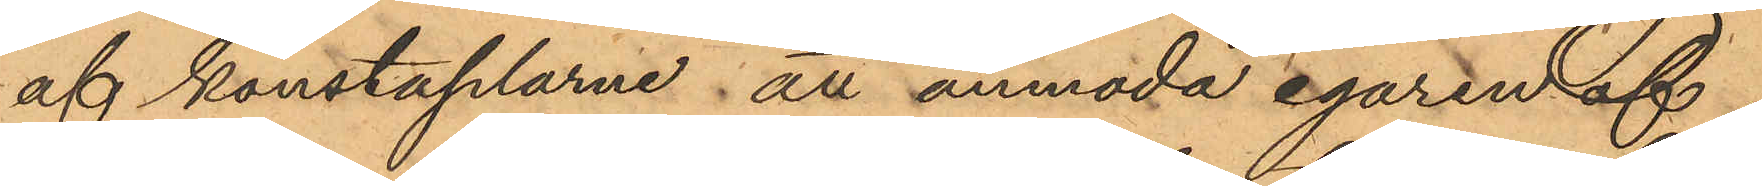af konstaplarne att anmoda egaren af
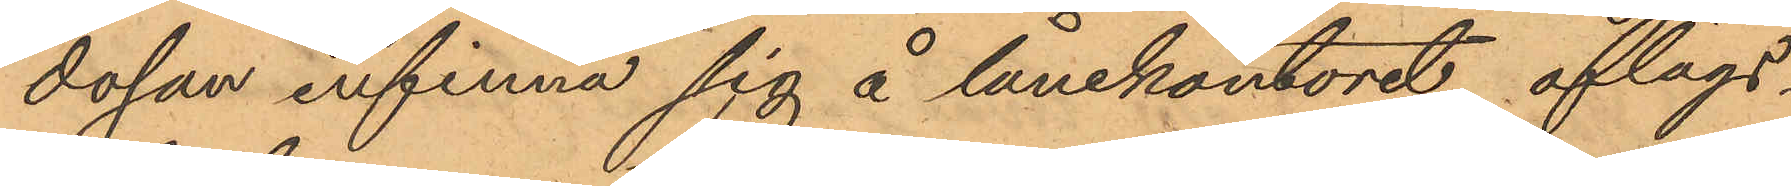dosan infinna sig å lånekontoret aflägs¬
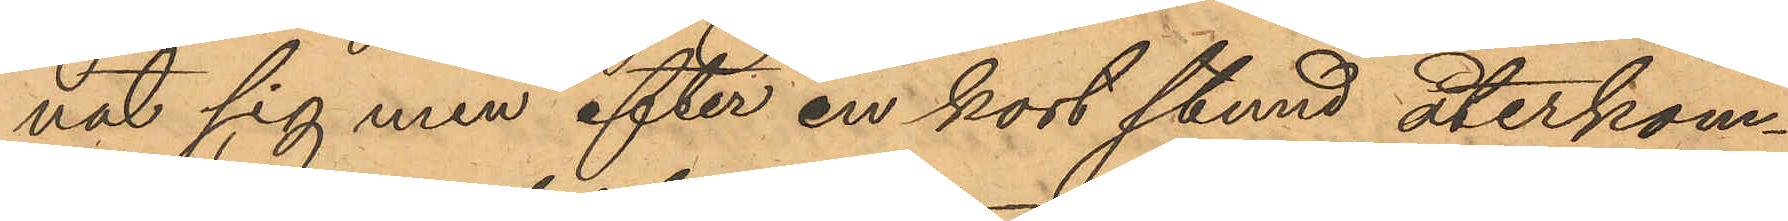nat sig men efter en kort stund återkom¬
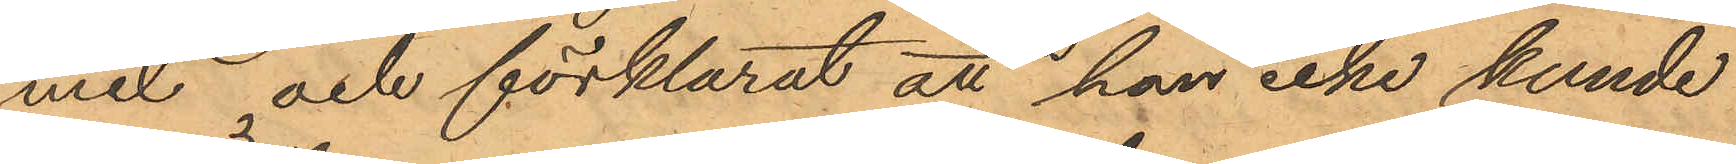mit och förklarat att han icke kunde
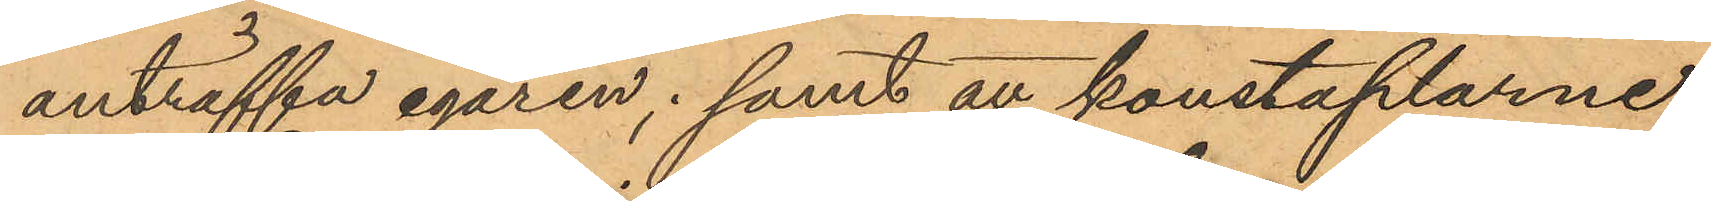anträffa egaren; samt att konstaplarne
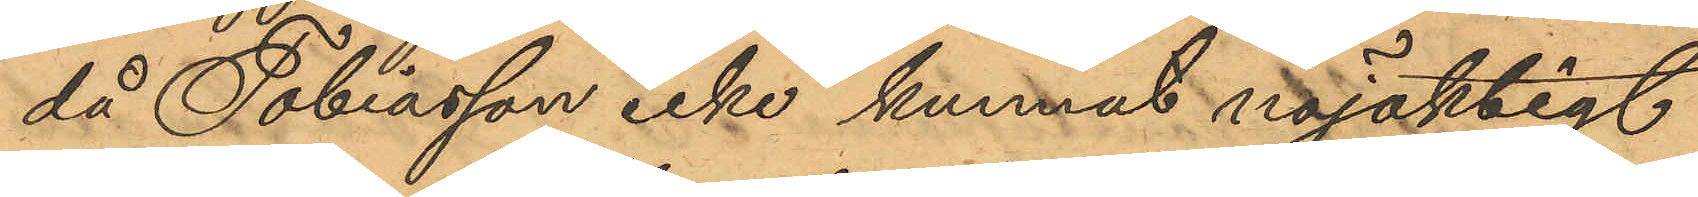då Tobiasson icke kunnat nöjaktigt
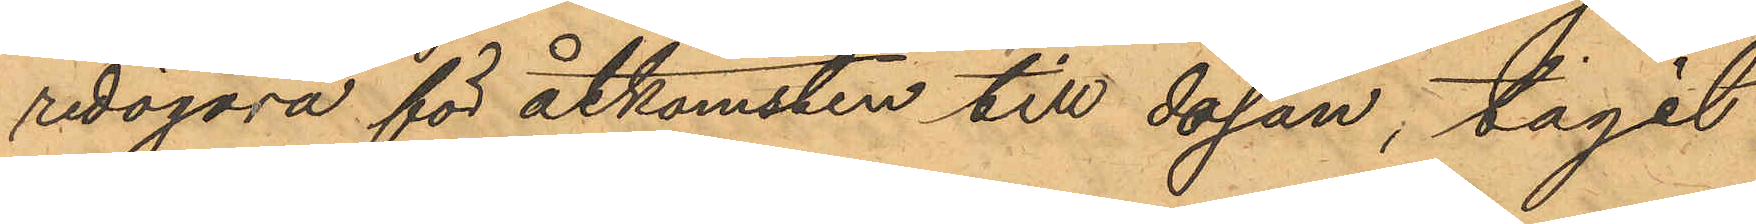redogöra för åtkomsten till dosan, tagit
